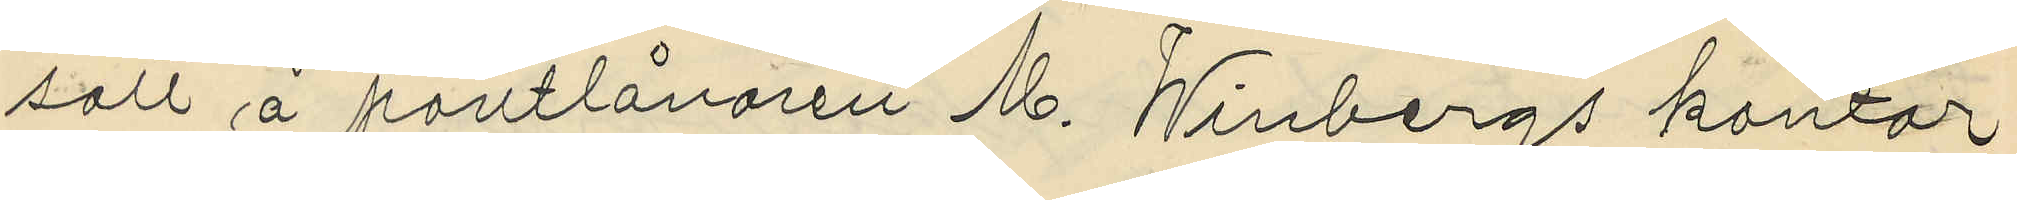satt å pantlånaren M. Winbergs kontor
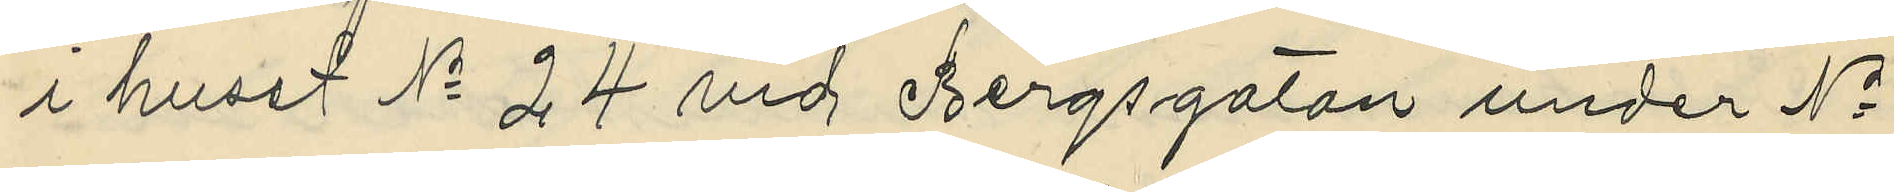i huset No 24 vid Bergsgatan under No
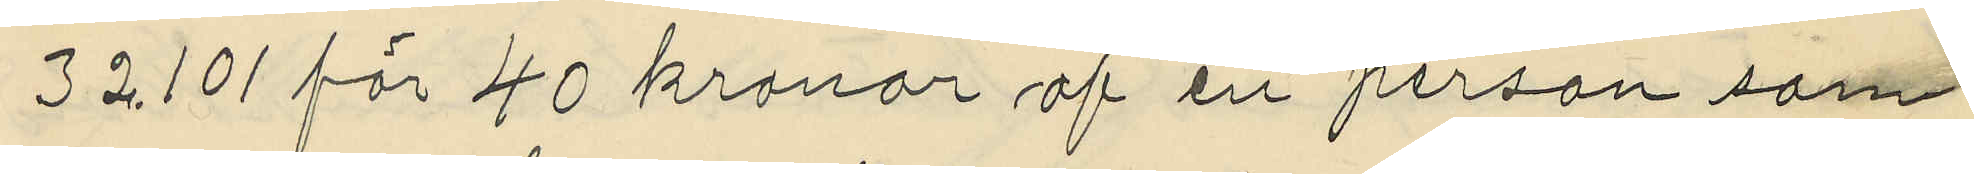32101 för 40 kronor af en person som
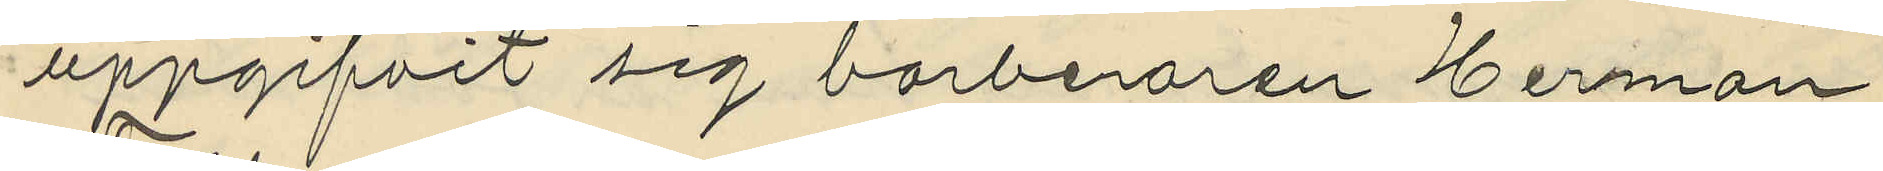uppgifvit sig barberaren Herman
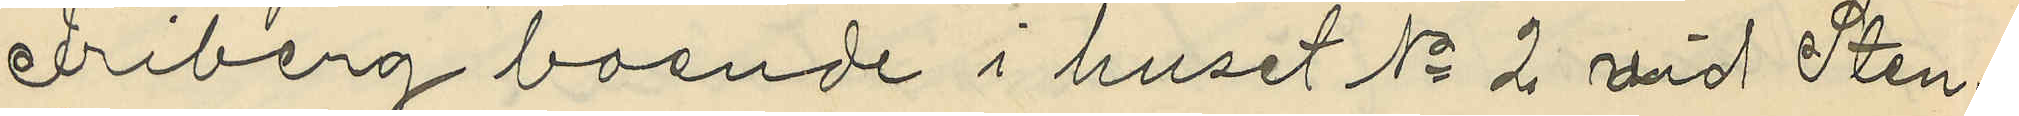Friberg boende i huset No 2 vid Sten
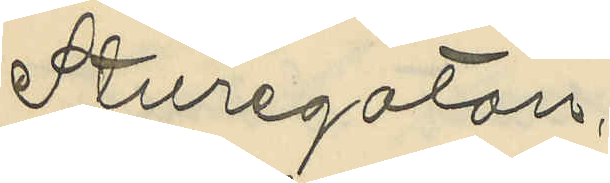Sturegatan,
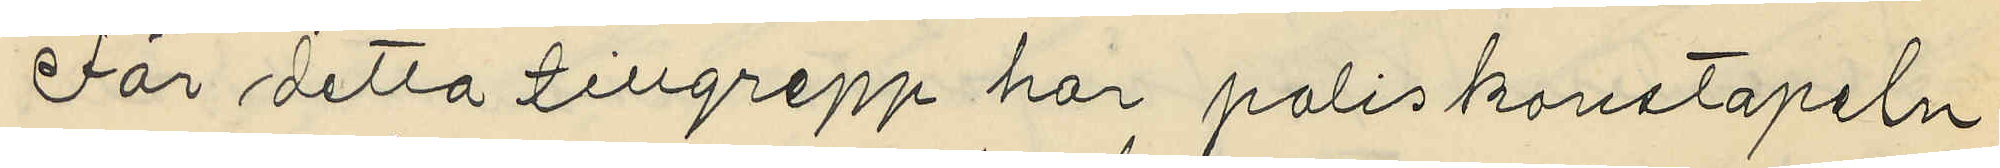För detta tillgrepp har poliskonstapeln
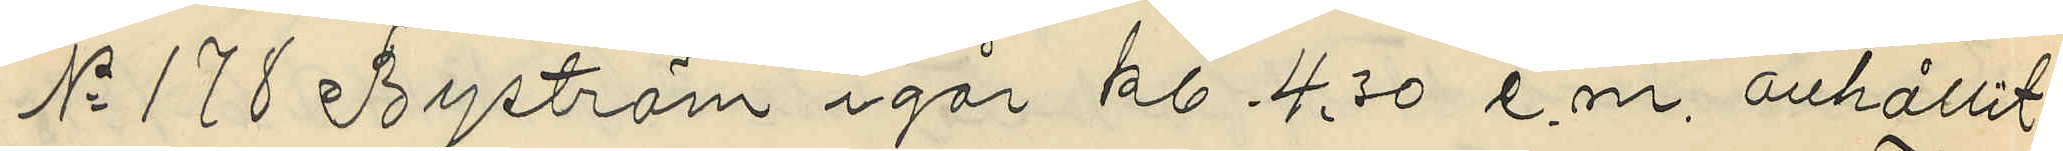No 178 Byström igår kl. 4,30 e.m. anhållit
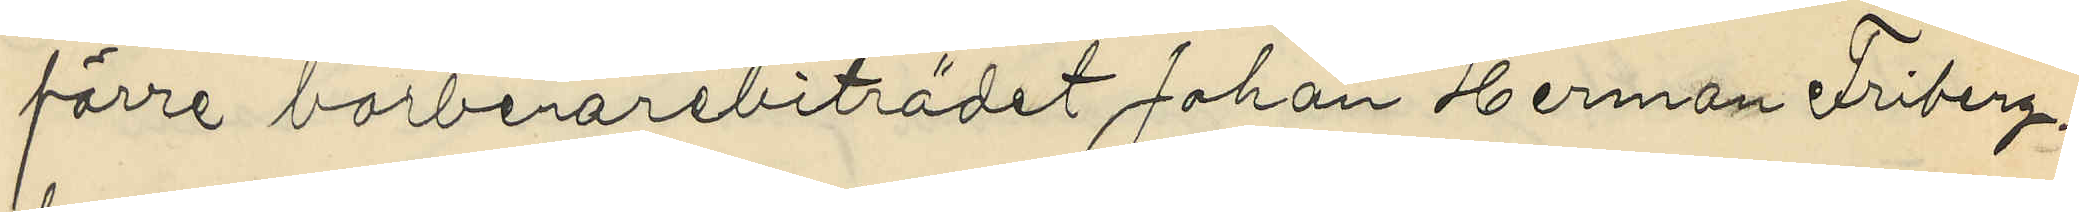förre barberarebiträdet Johan Herman Friberg,
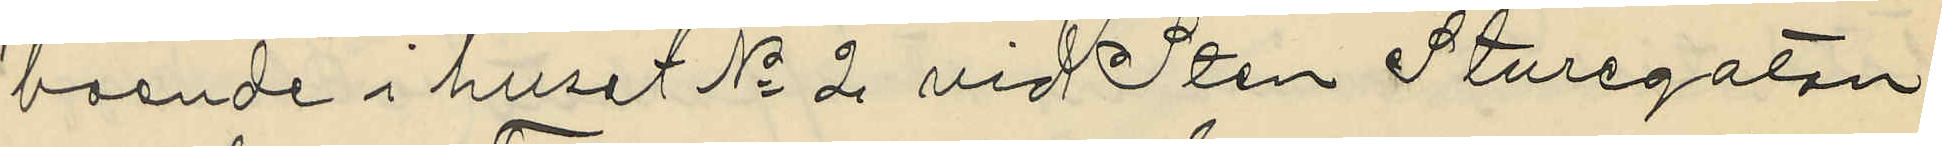boende i huset No 2 vid Sten Sturegatan
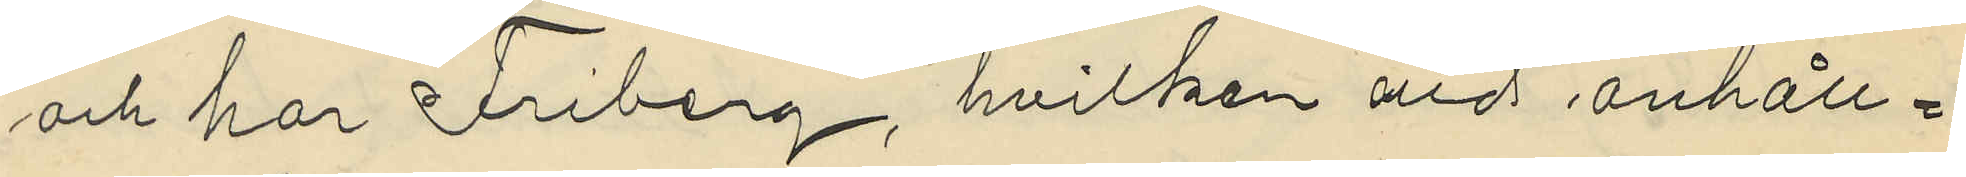och har Friberg, hvilken vid anhåll¬
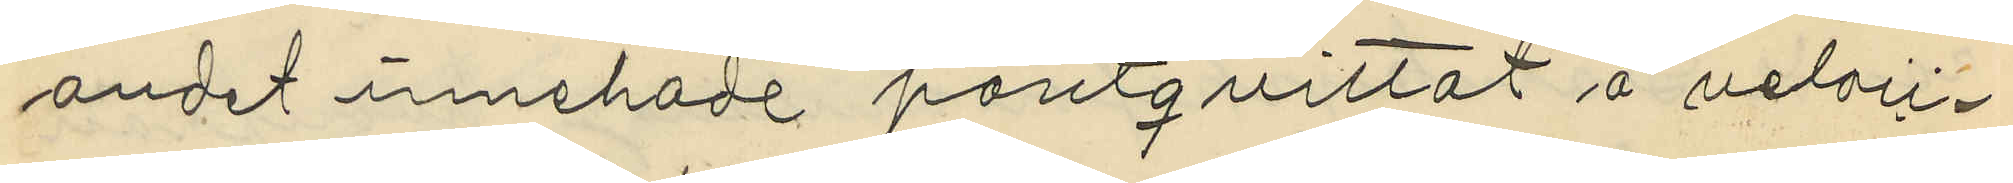ändet innehade pantqvittot å veloci¬
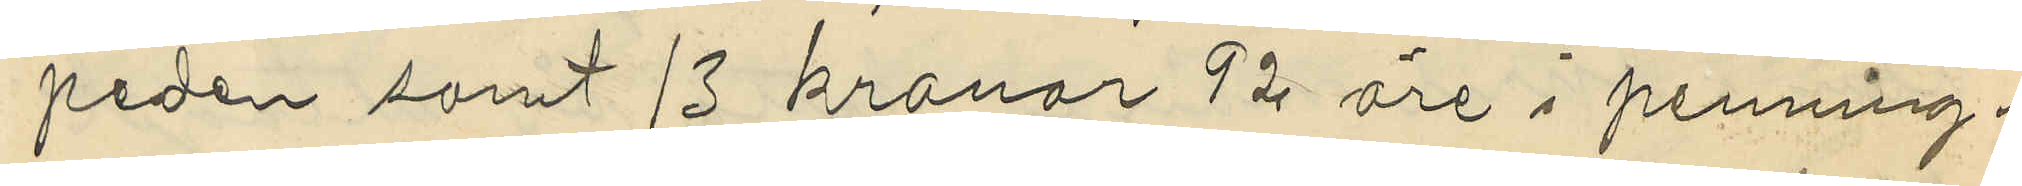peden samt 13 kronor 12 öre i penning¬
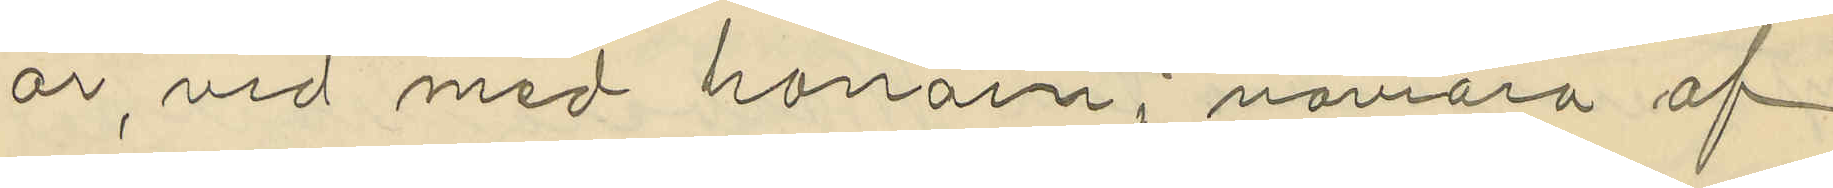ar, vid med honom i nåvara af
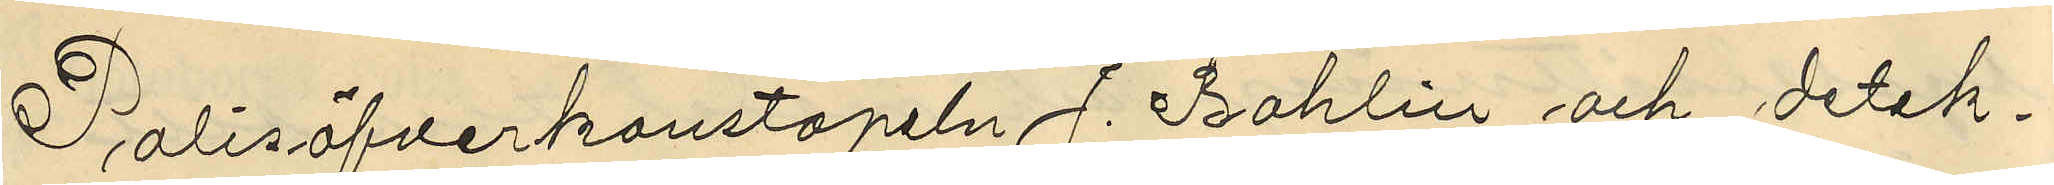Polisöfverkonstapeln J. Bohlin och detek¬
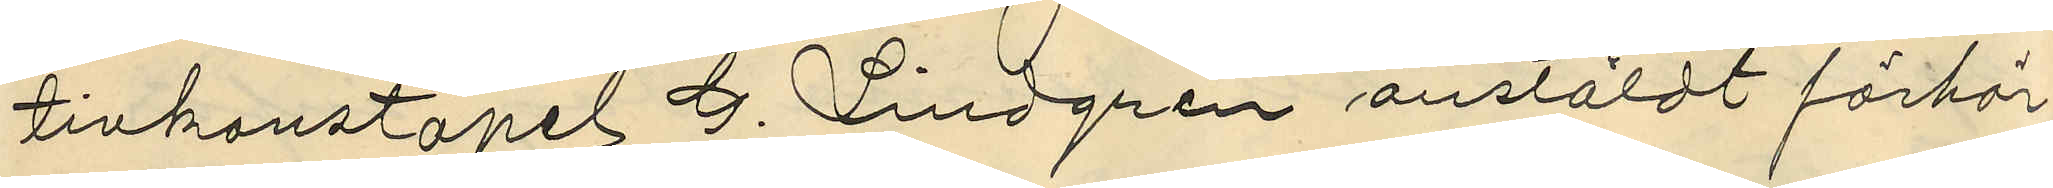tivkonstapel G. Lindgren anstäldt förhör
